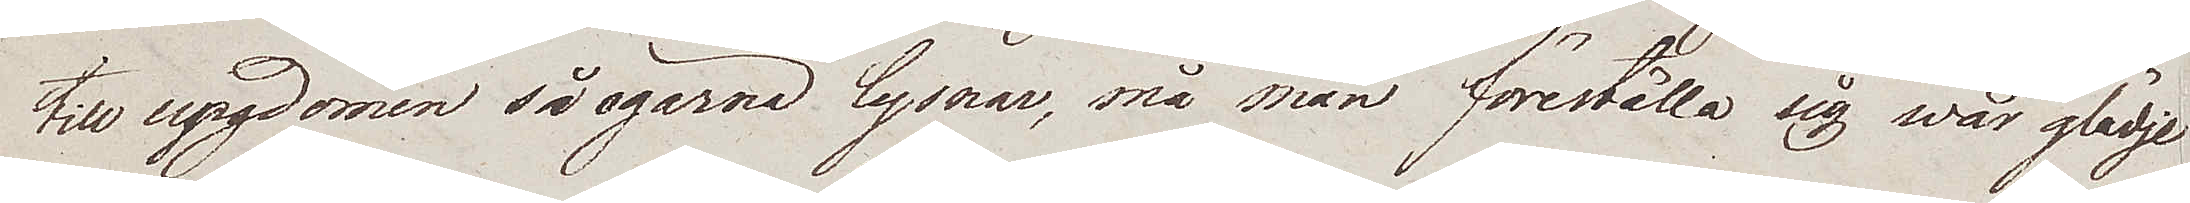till ungdomen så ogärna lyssnar, må man föreställa sig wår glädje
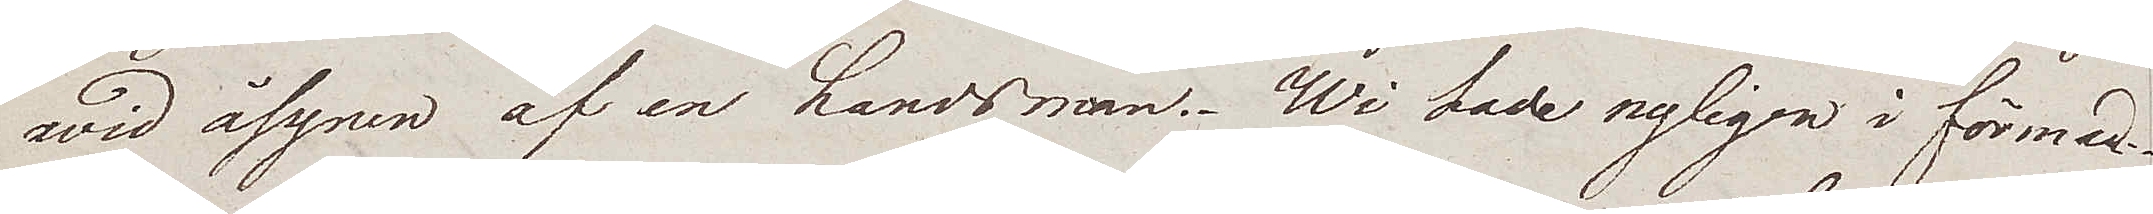wid åsynen af en landsman. Wi hade nyligen i förmed
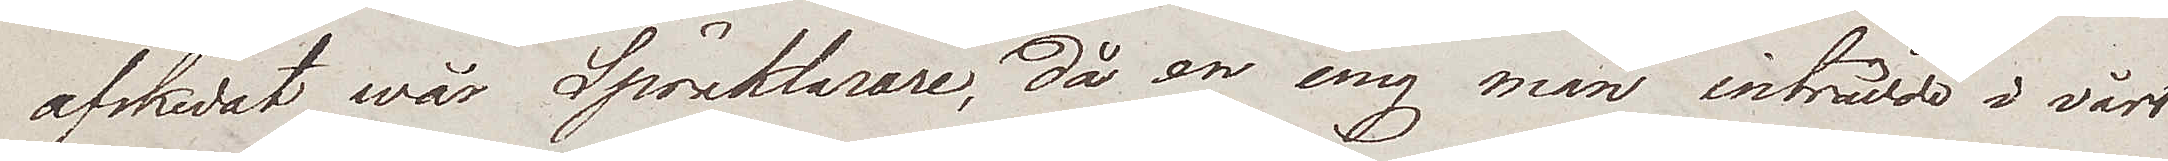afskedat wår Språklarare, då en ung man inträdde i vårt
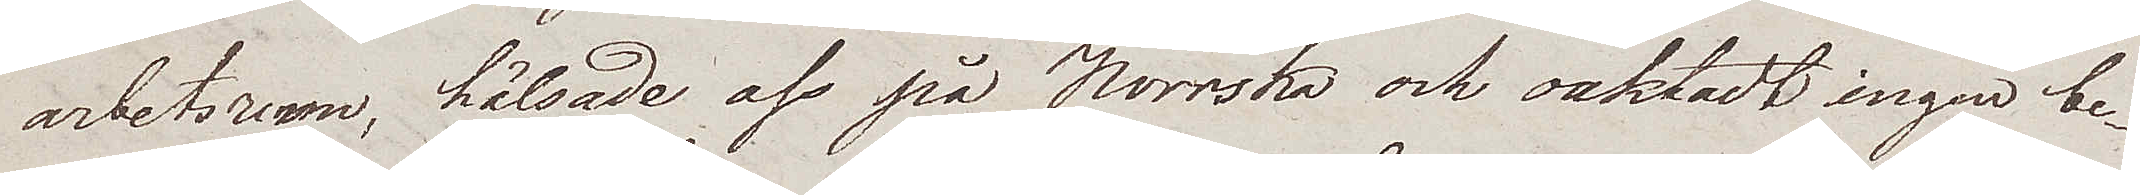arbetsrum, hälsade oss på Norrska och oaktadt ingen be¬
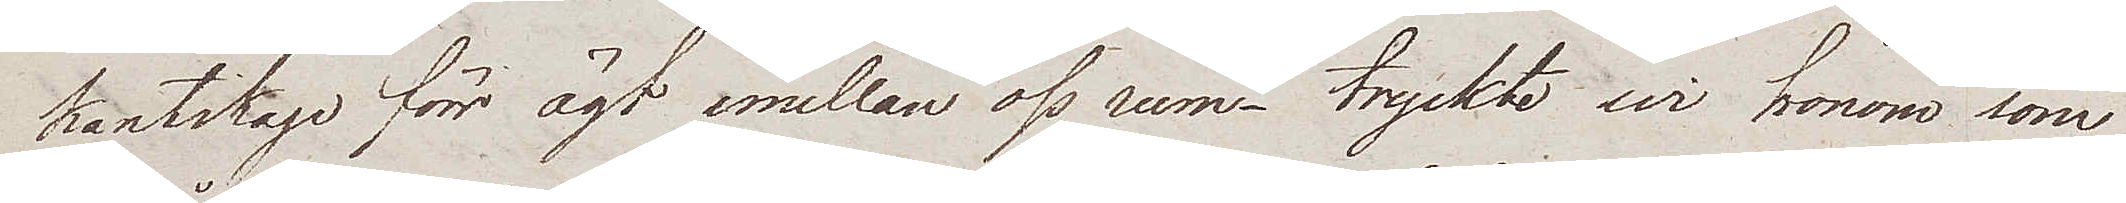kantskap förr ägt emellan oss rum – tryckte wi honom som
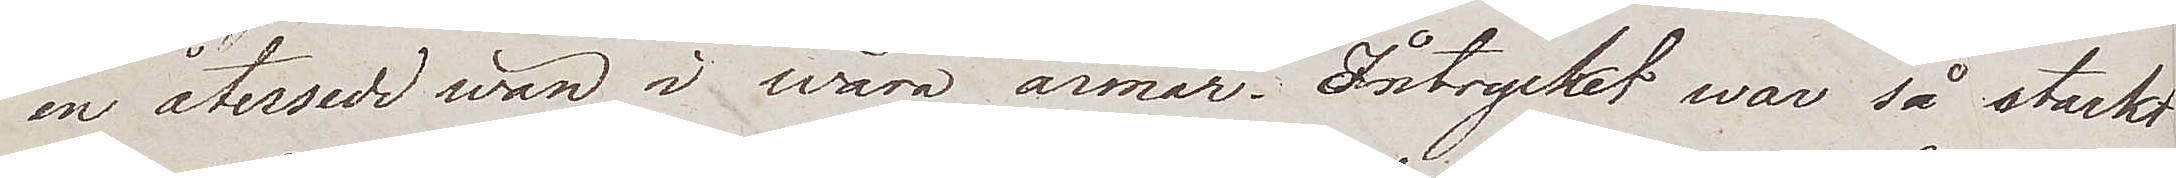en återsedd wän i wåra armar. Intrycket war så starkt
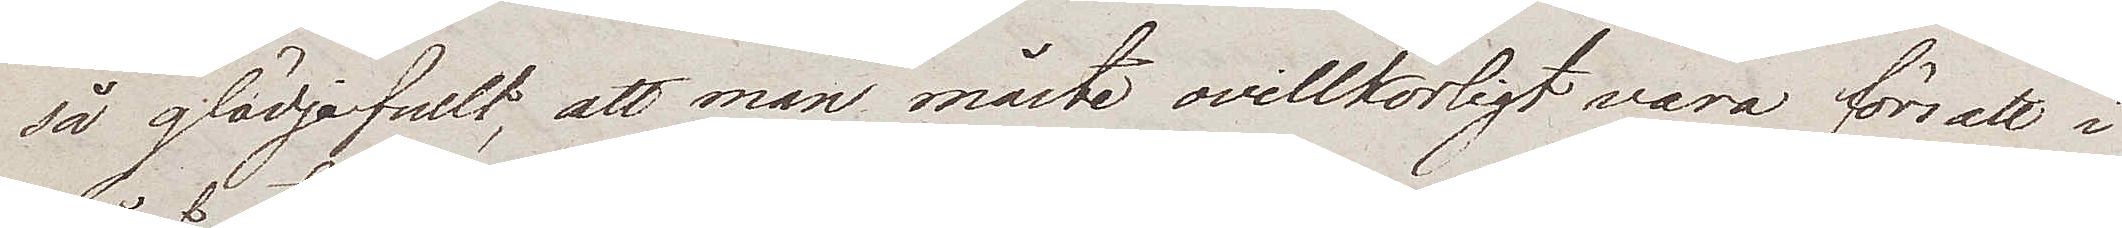så glädjefullt, att man måste ovillkorligt vara försatt i
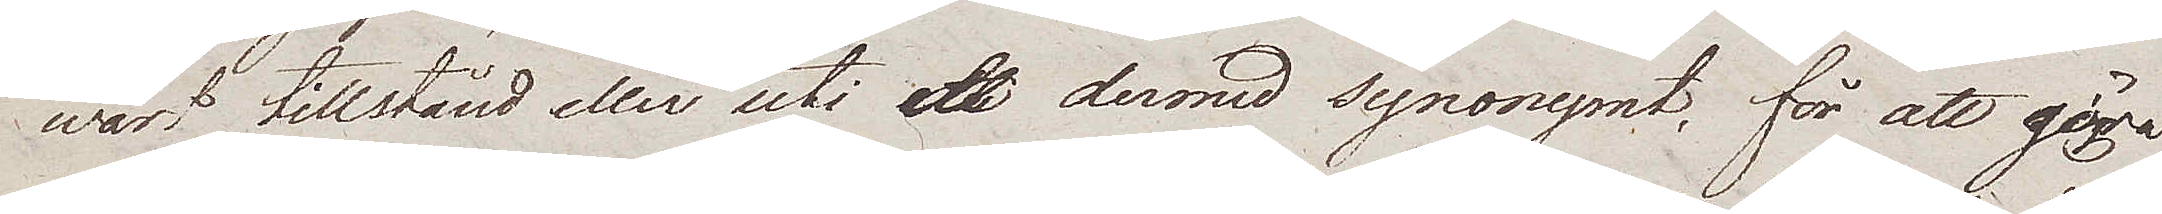wårt tillstånd eller uti ett dermed synonymt, för att giöra
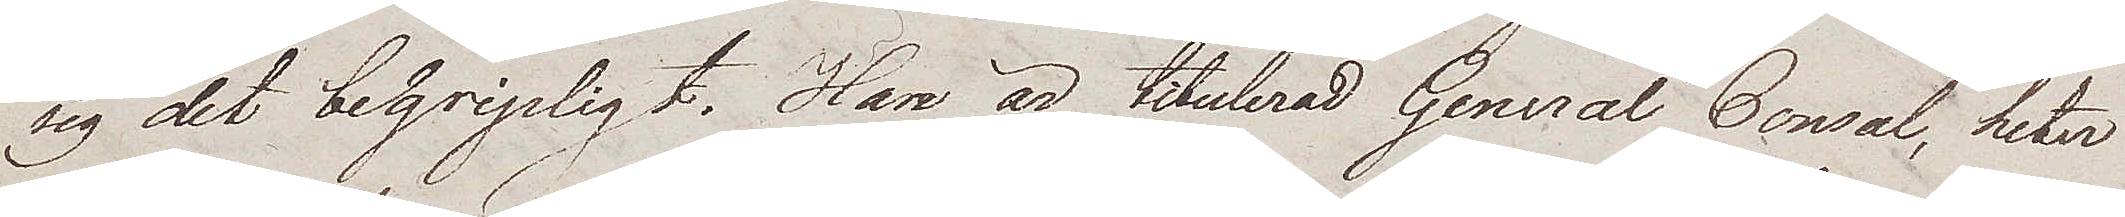sig det begripligt. Han är titulerad General Consul, heter
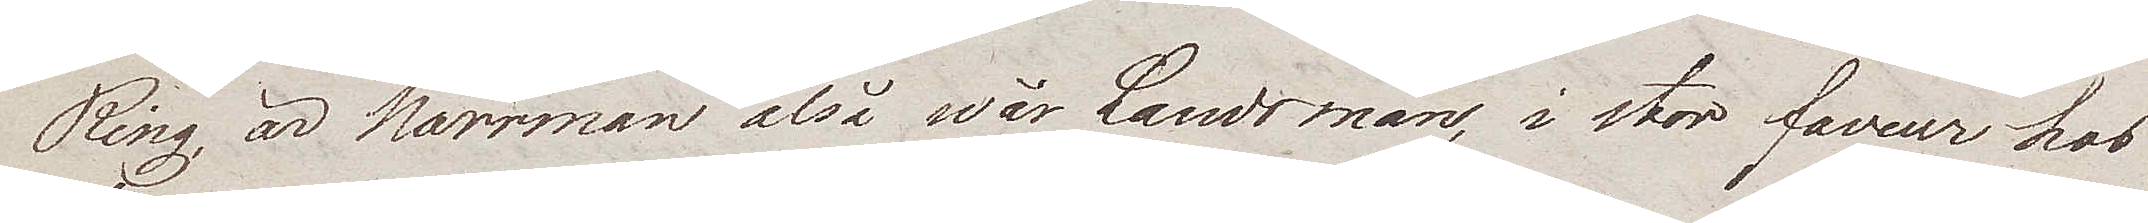Ring, är Norrman alså wår Landsman, i stor faveur hos
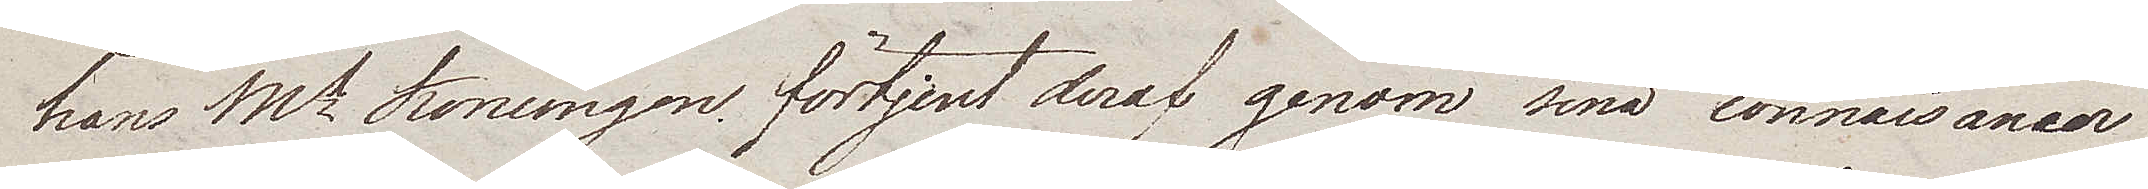hans Mt Konungen förtjent deraf genom sina connaisancer
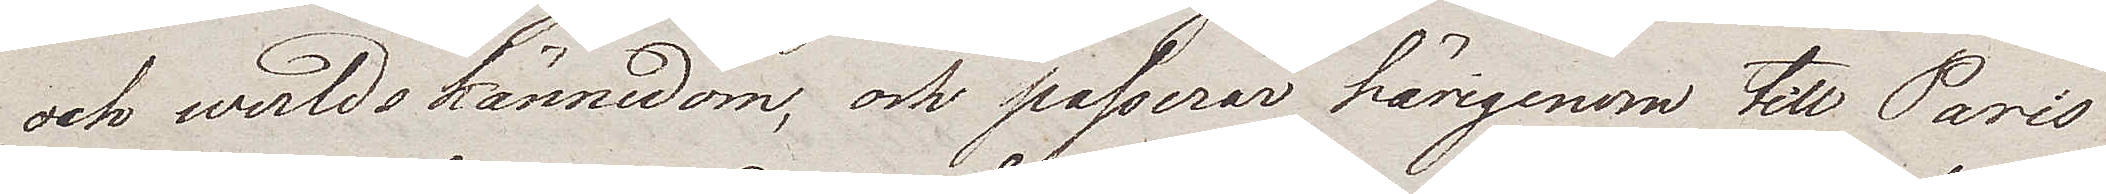och werldskännedom, och passerar härigenom till Paris
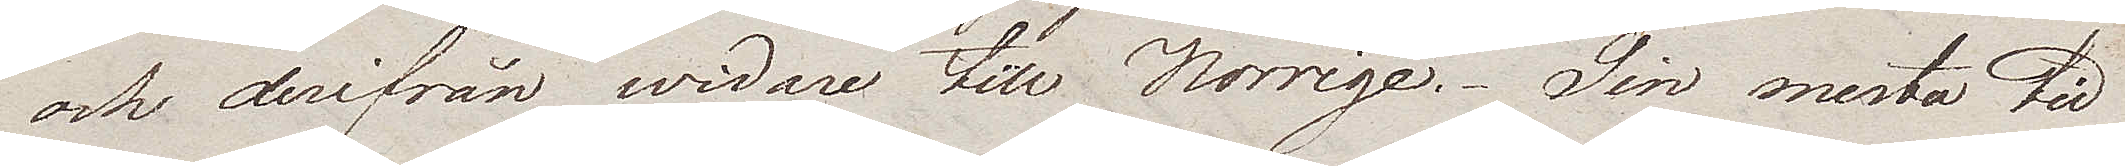och derifrån widare till Norrige. Sin mesta tid
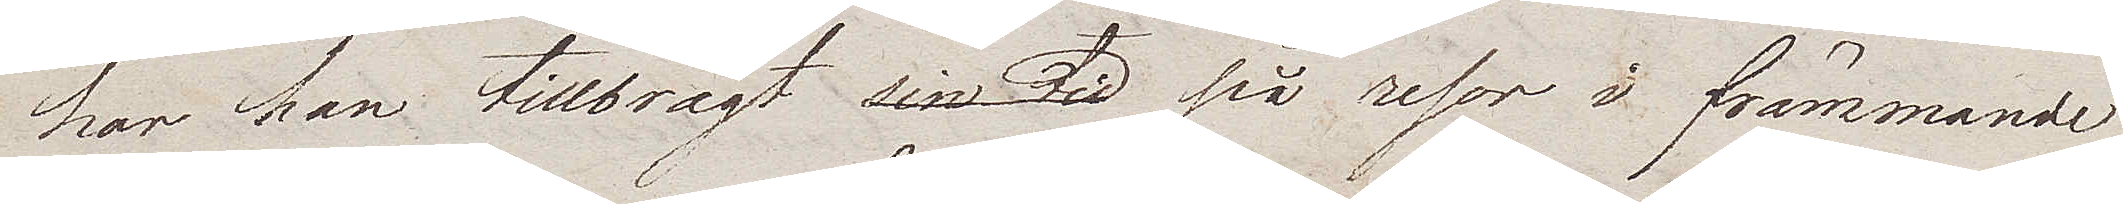har han tillbragt sin tid på resor i främmande
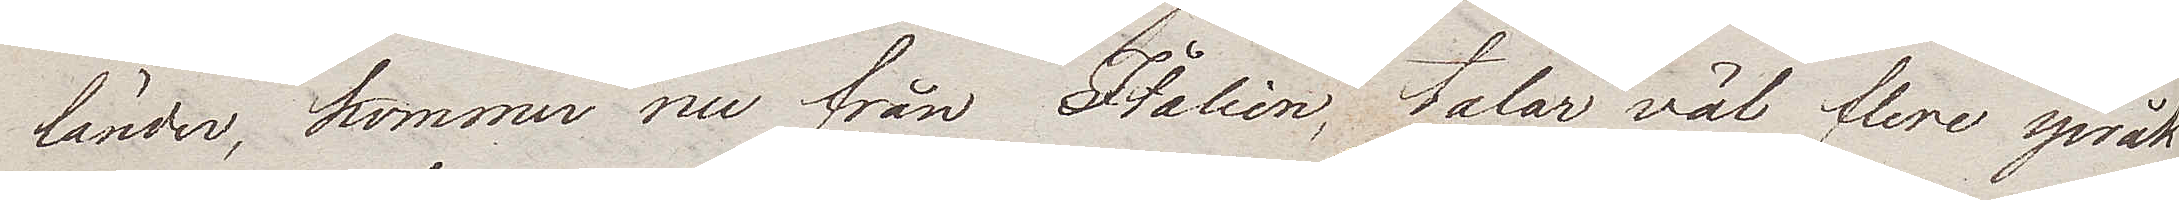länder, kommer nu från Italien, talar väl flere språk
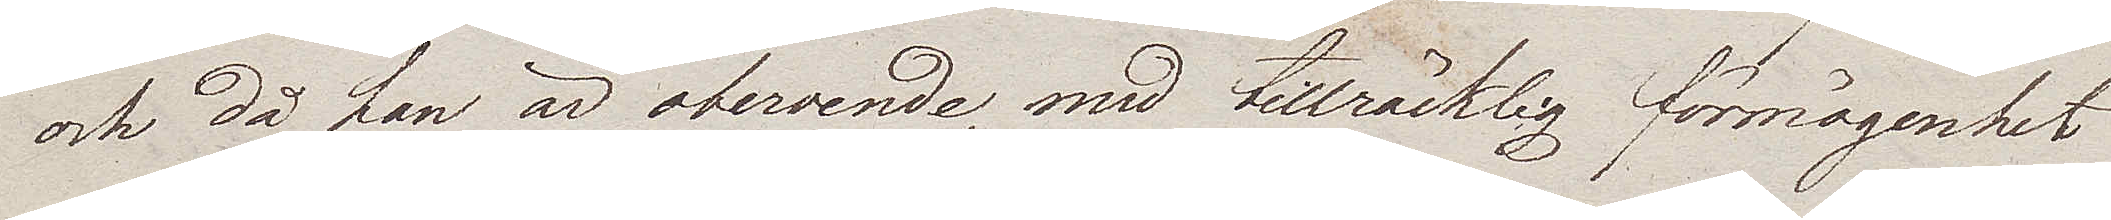och då han är oberoende med tillräcklig förmögenhet
